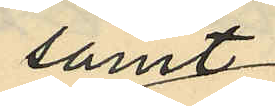samt
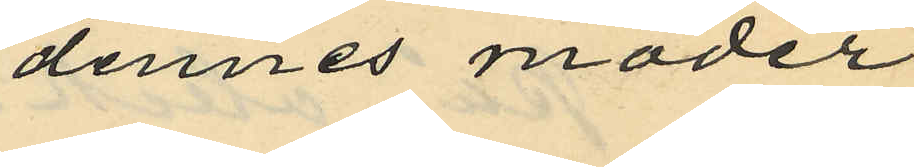dennes moder
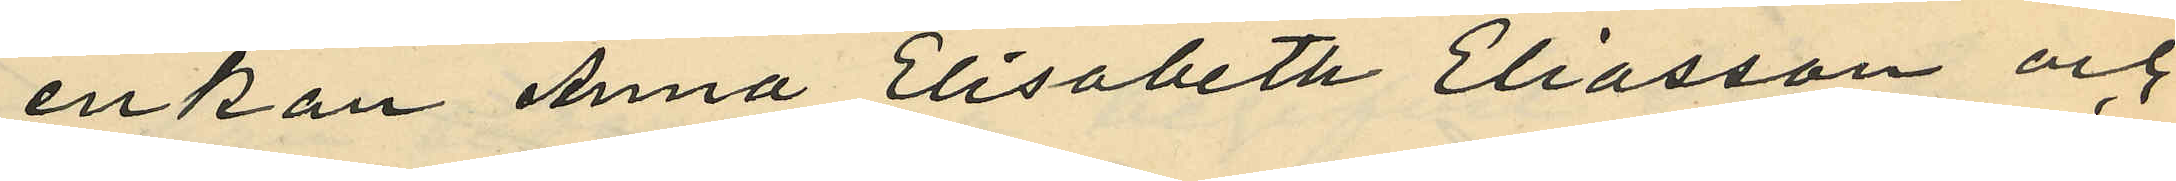enkan Anna Elisabeth Eliasson och
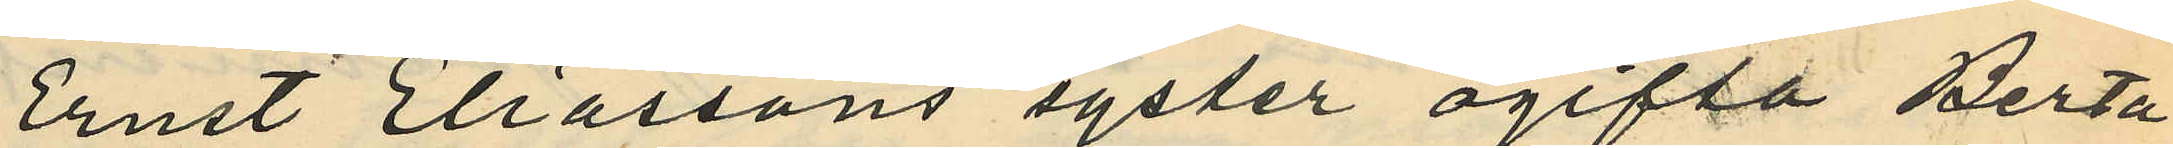Ernst Eliassons syster ogifta Berta
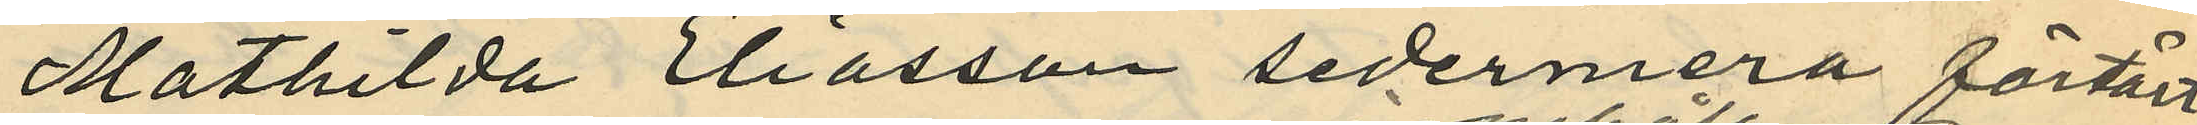Mathilda Eliasson sedermera förtärt
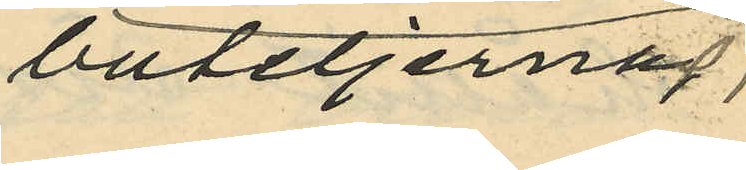buteljernas
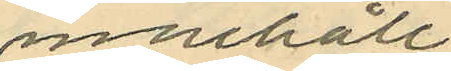innnehåll
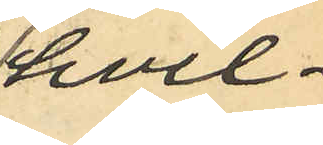hvil¬
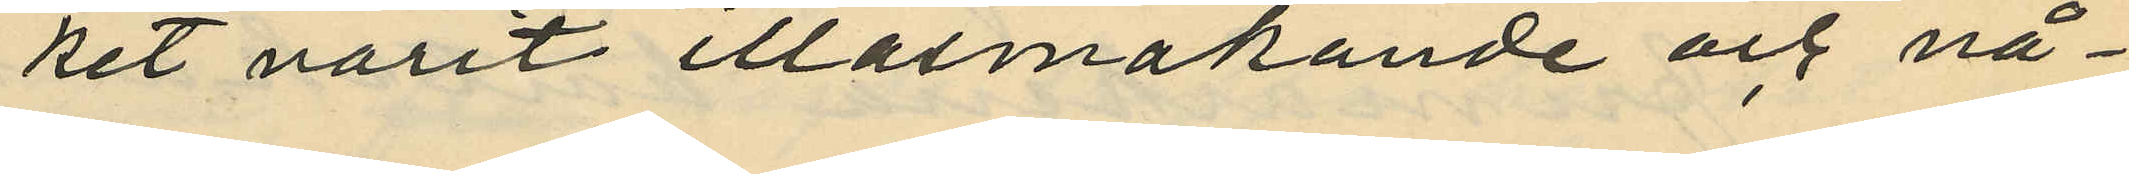ket varit illasmakande och nå¬
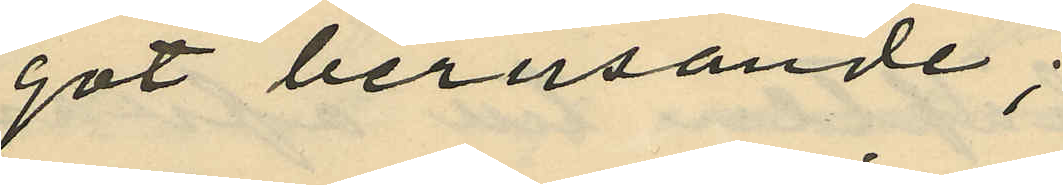got berusande;
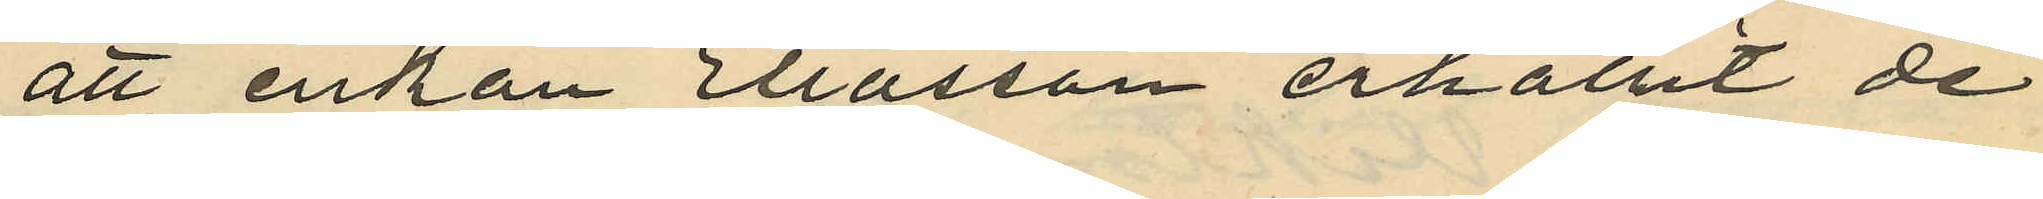att enkan Ellasson erhållit de
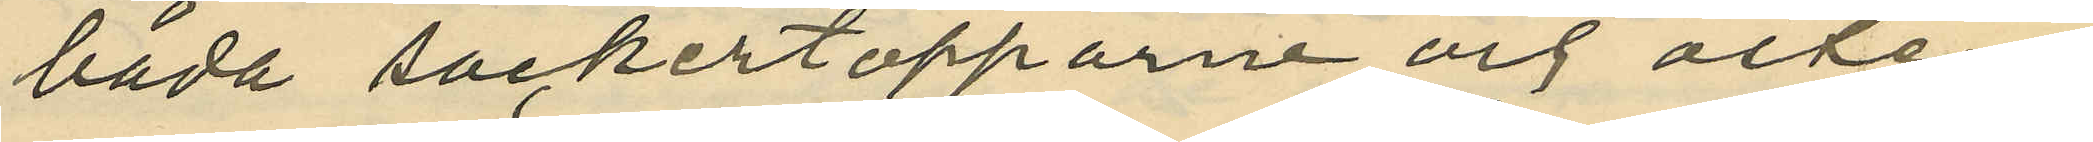båda sockertopparne och osten
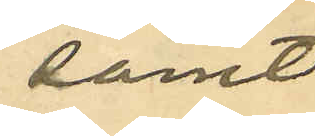samt
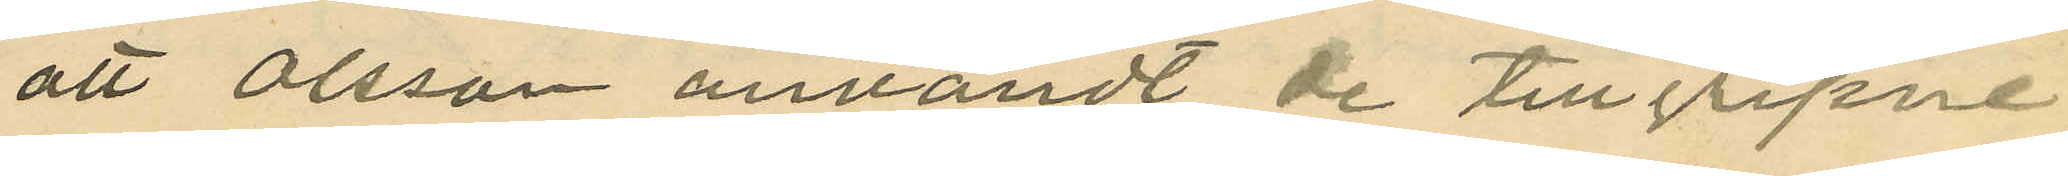att Olsson användt de tillgripne
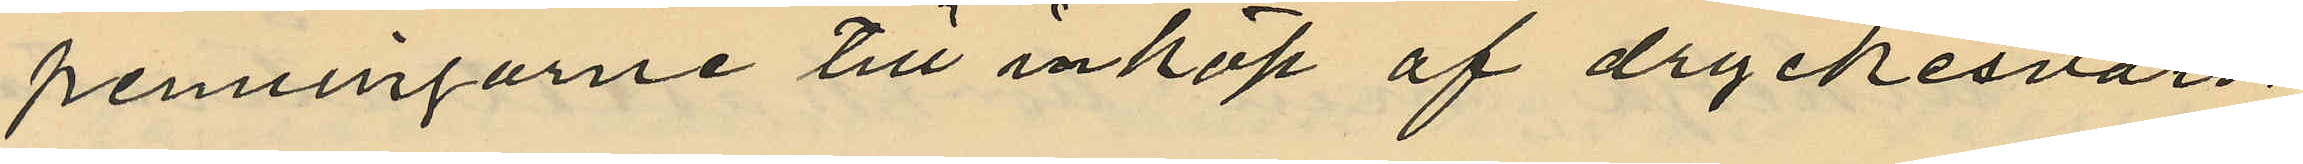penningarne till inköp af dryckesvaror,
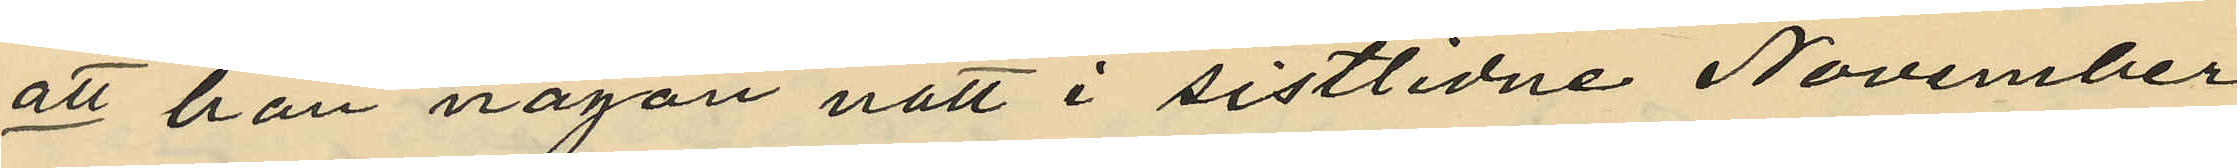att han någon natt i sistlidne November
